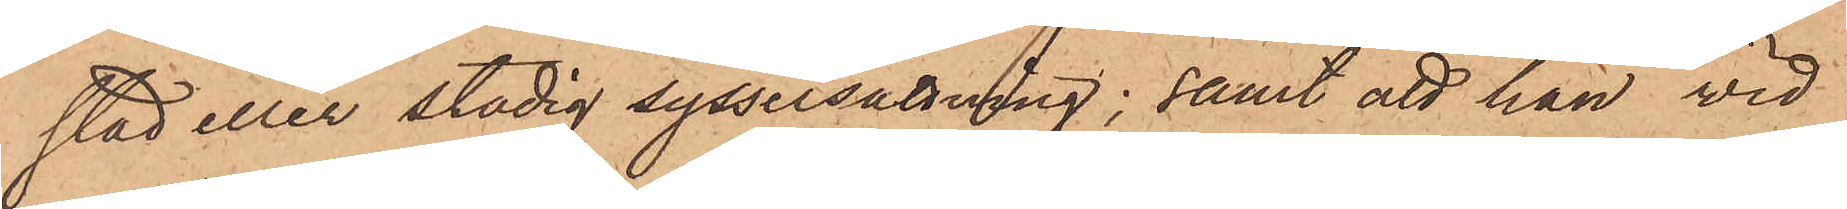stad eller stadig sysselsättning; samt att han vid
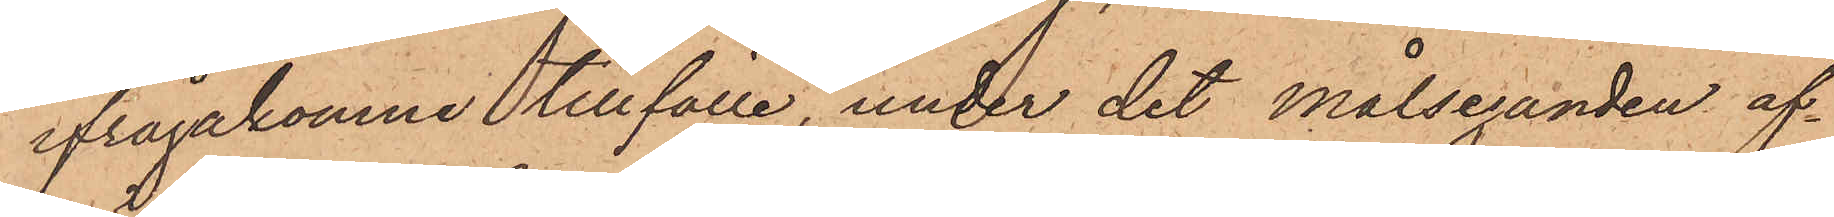ifrågakomne tillfälle, under det Målseganden af¬
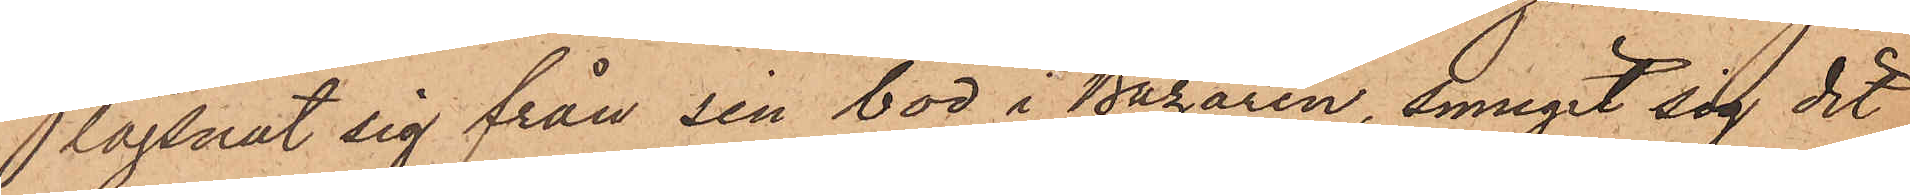lägsnat sig från sin bod i Bazaren, smugit sig dit
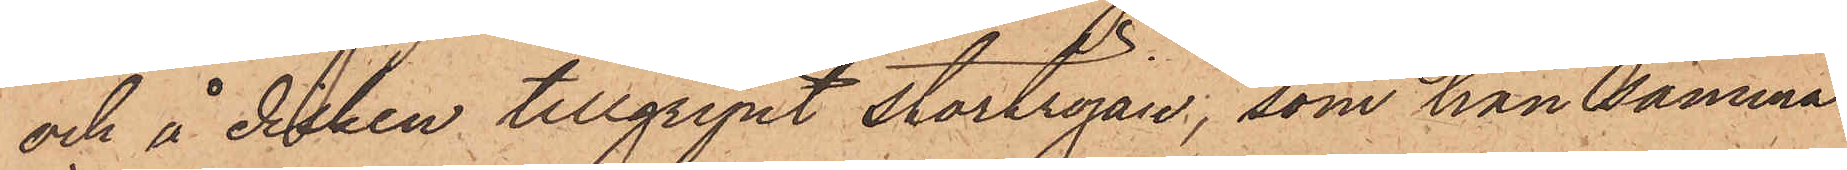och å disken tillgripit stortröjan, som han samma
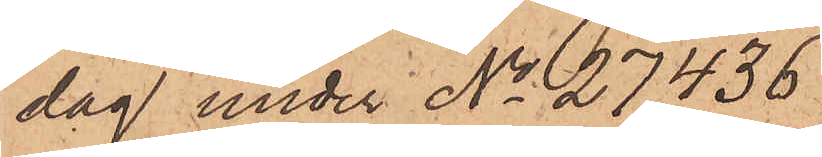dag under No 27,436
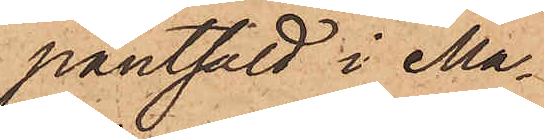pantsatt i Ma¬
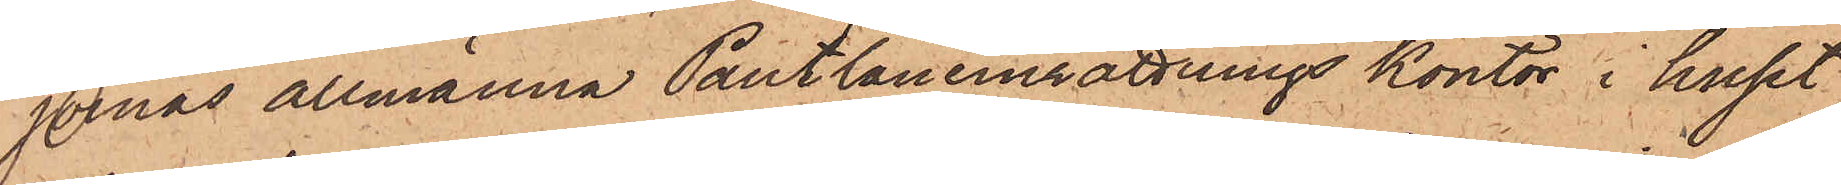jornas Allmänna Pantlåneinrättnings kontor i huset
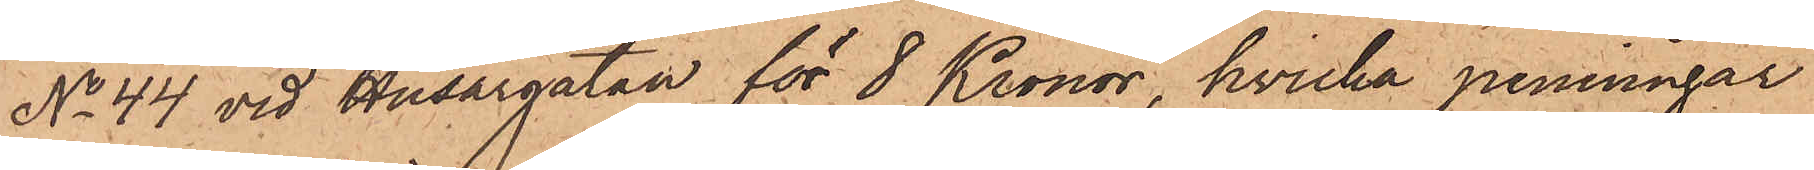No 44 vid Husargatan för 8 Kronor, hvilka penningar
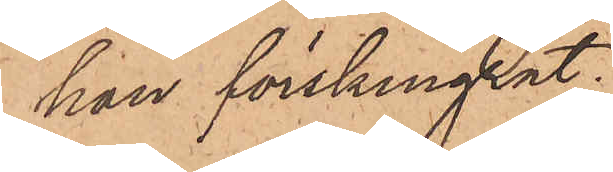han förskingrat.
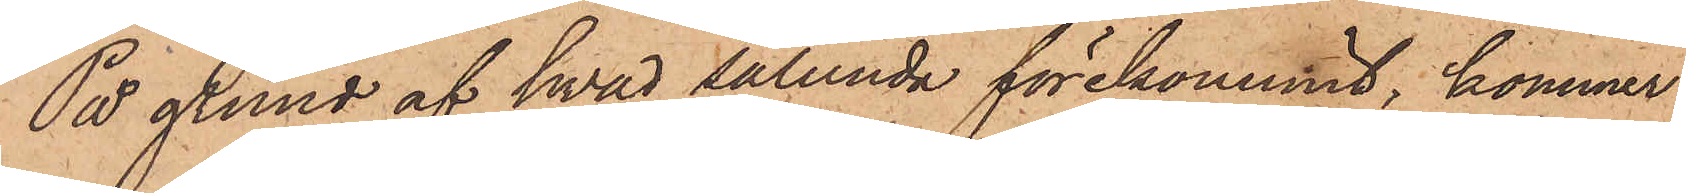På grund af hvad sålunda förekommit, kommer
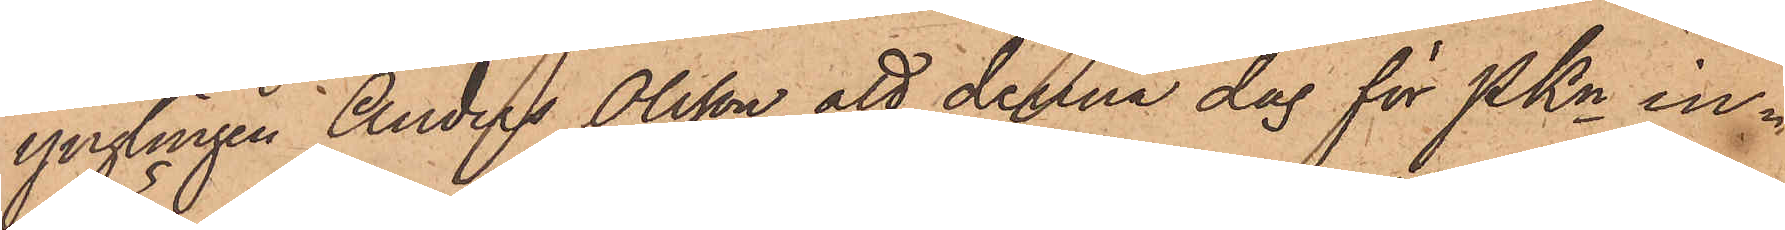ynglingen Anders Olsson att denna dag för PKn in¬
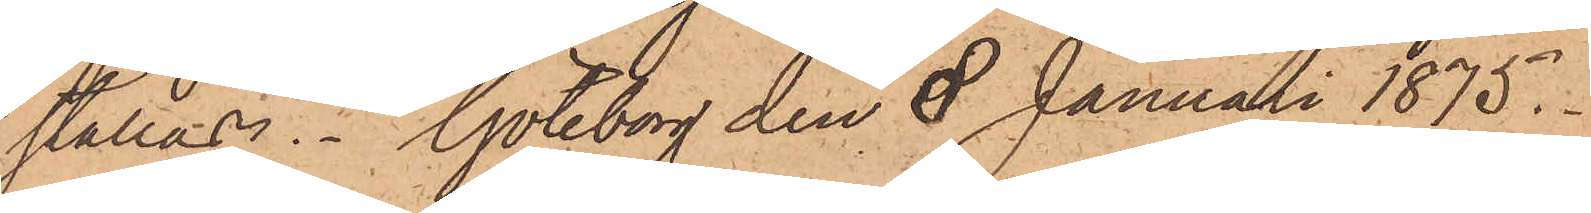ställas. Göteborg den 8 Januari 1875.
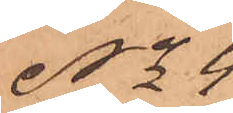No 4
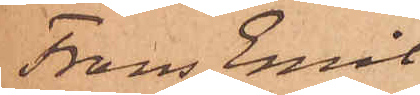Frans Emil
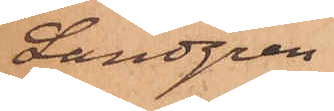Landgren.
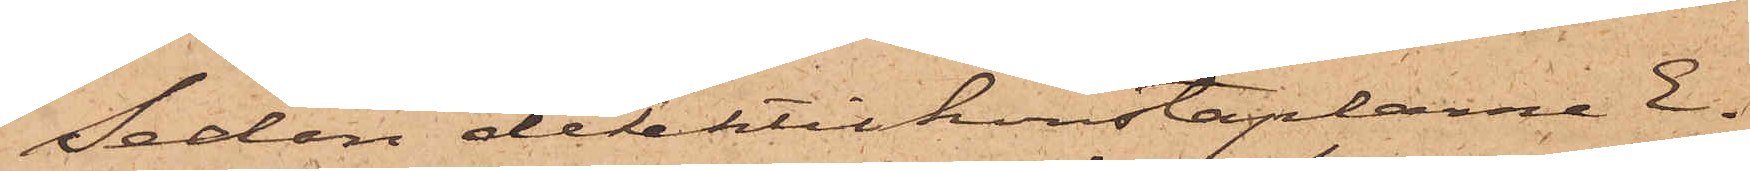Sedan detektivkonstaplarne E.
